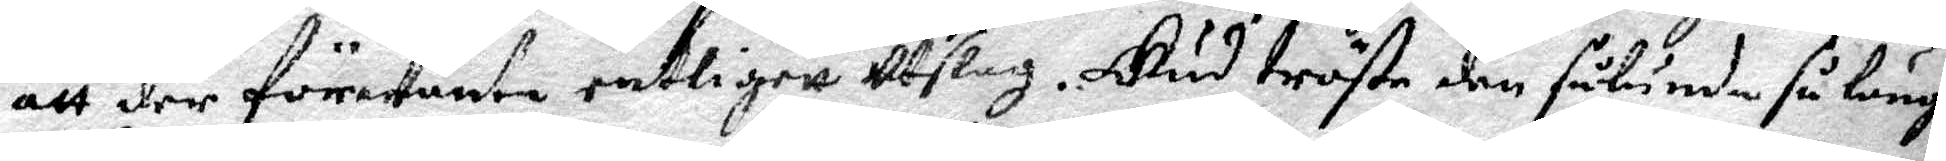att der förwänten entligett utslag. Gud tröste den sålunde så länge
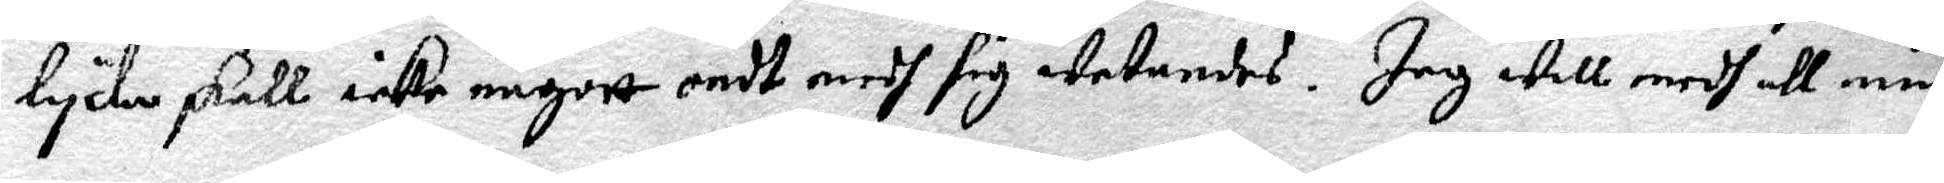lycka skall icke någott ondt emot sig wetandes. Jag will medh all min
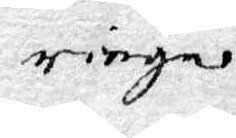ringa 
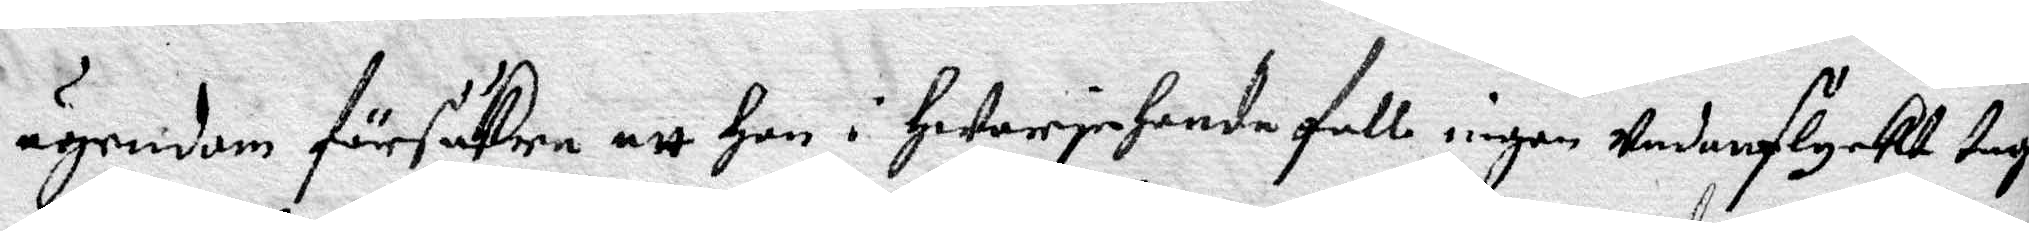ägendom försäkra att hon i Hwarjehanda fall ingen undanflyckt taga
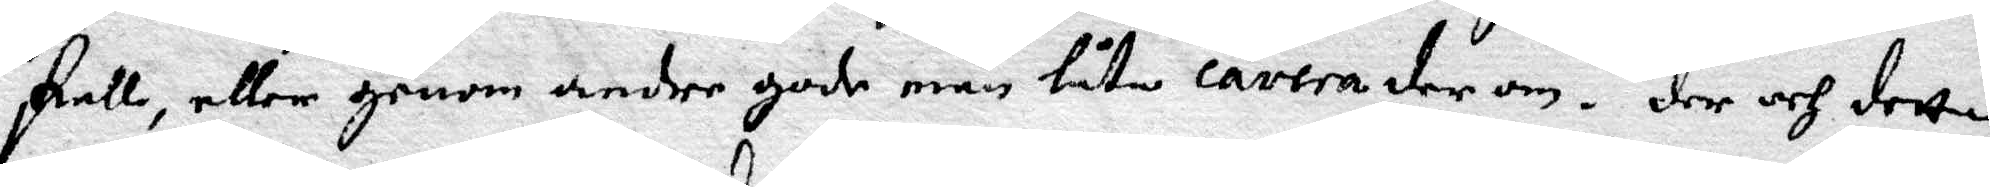skall, eller genom andre gode män låta cavera der om. der och detta
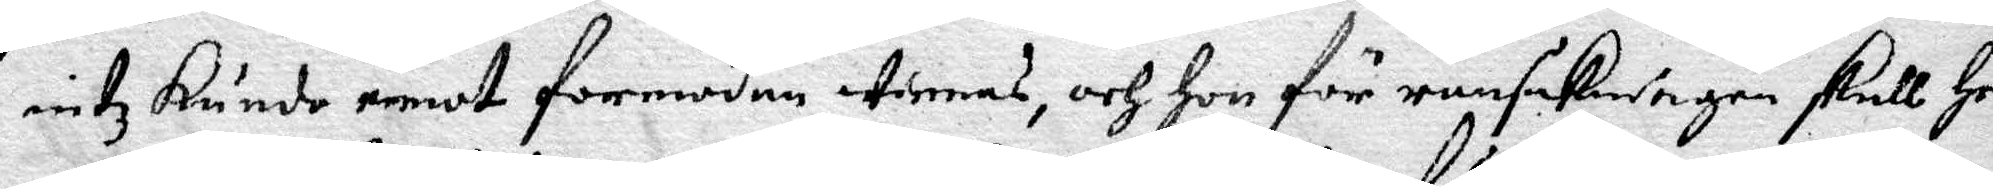intz kunde emot formodan tienas, och Hon för ransakningen skull Hem
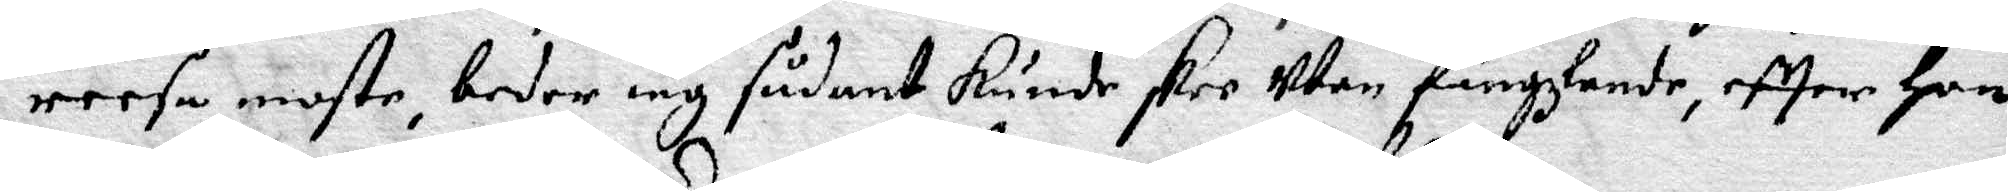reesa moste, beder iag sådant kunde skee utan fängzlande, efter Hon
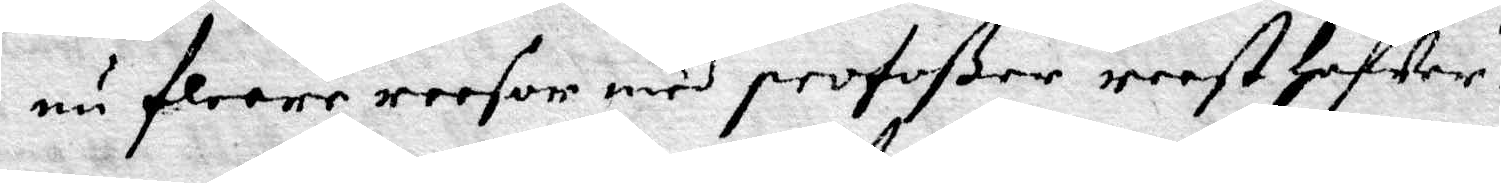nu flere reesor med profoßer reest Hafwer.
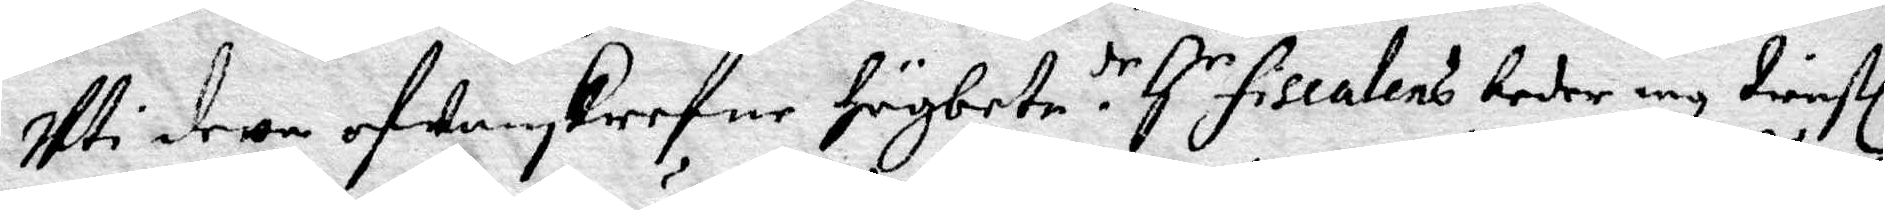Uti dette ofwansrefne Högbete.dr Hr Fiscalens beder iag tienstl
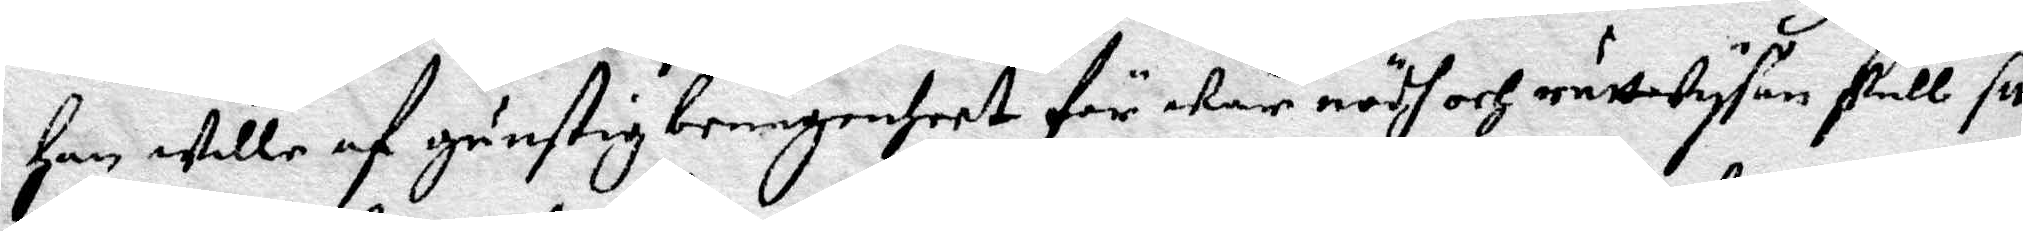Han wille af gunstig benägenheet för wår nödh och rättwysan skull sitt
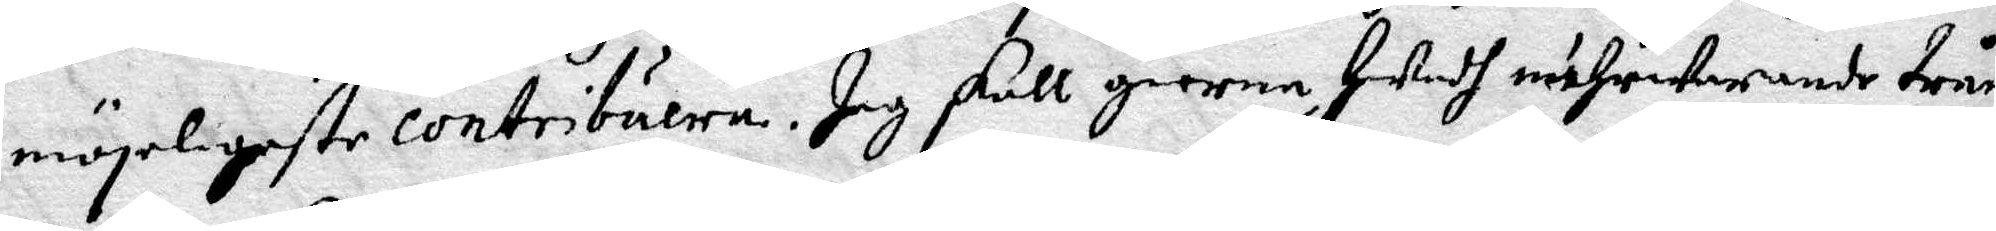mögeligeste contribuera. Jag skall gienom Hwadh närwarande trång¬
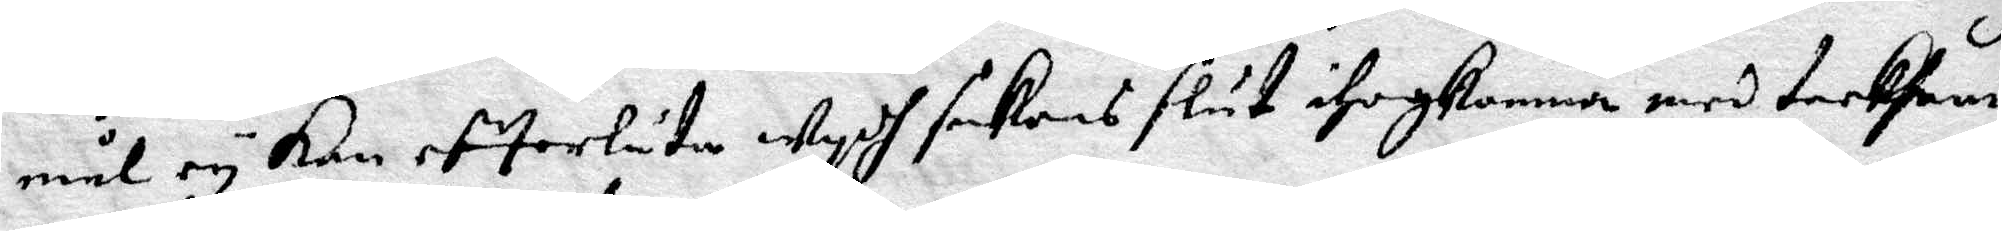mål ey kan efterlåta eydh sakens slut ihogkomma med tacksam¬
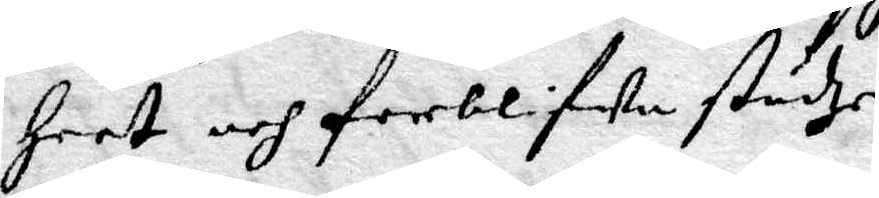heet och forblifwa städze
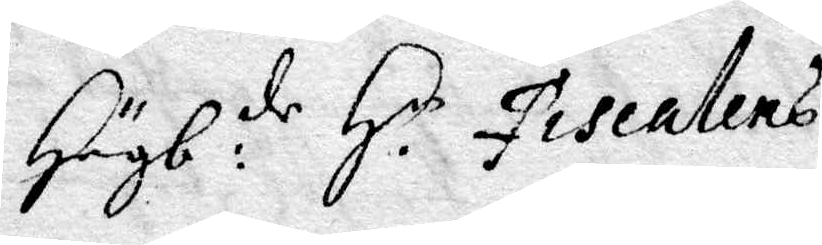Högb: de H. Fiscalens
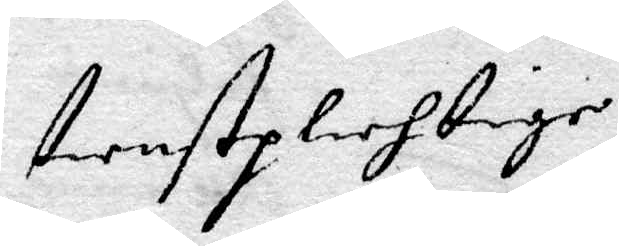tienstplihtige
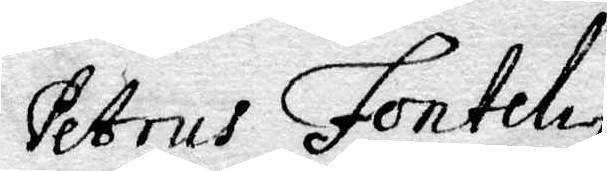Petrus Fonteliy
